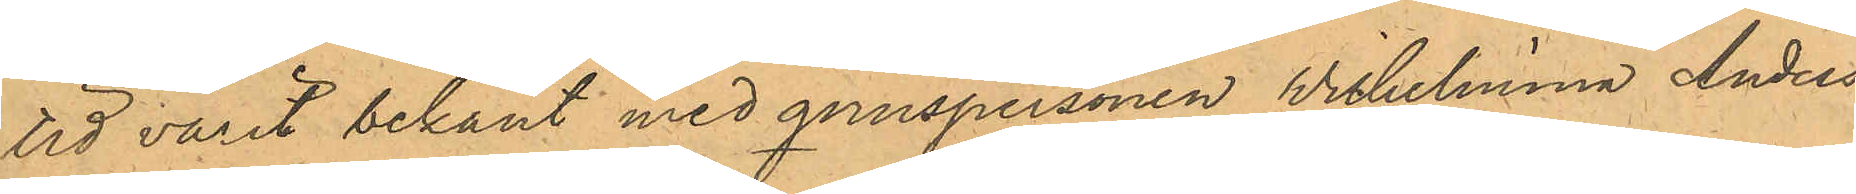tid varit bekant med qvinspersonen Wilhelmina Anders¬
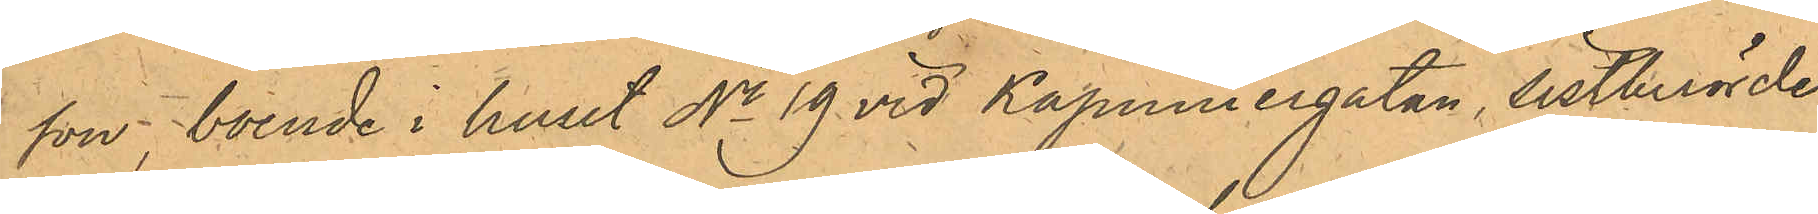son, boende i huset No 19 vid Kapuniergatan, sistberörde
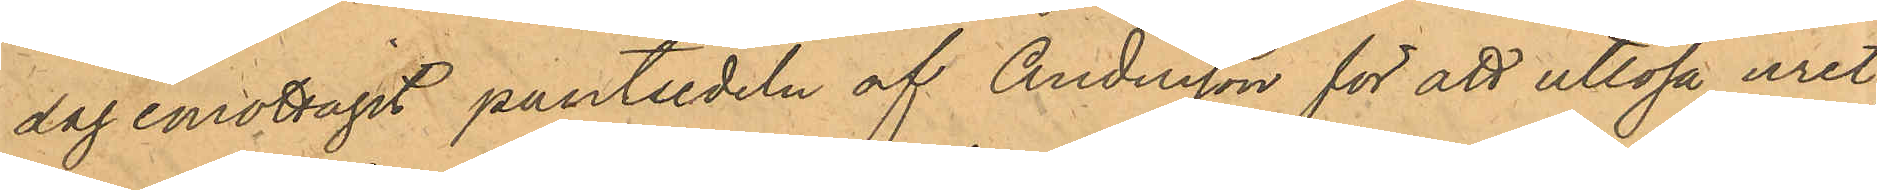dag emottagit pantsedeln af Andersson för att utlösa uret,
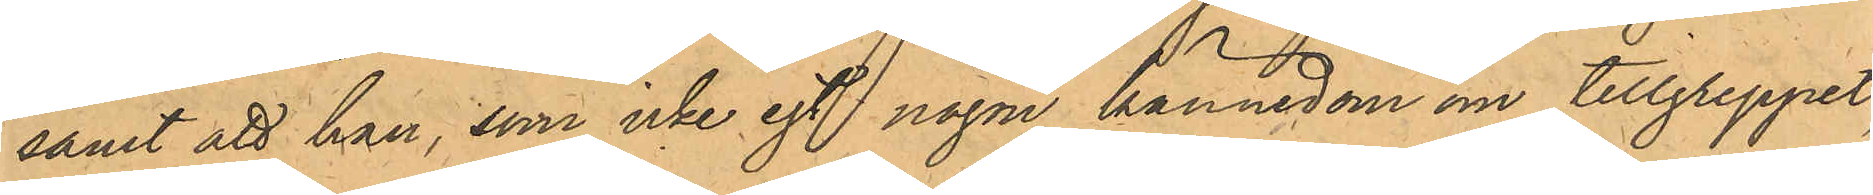samt att han, som icke egt någon kännedom om tillgreppet,
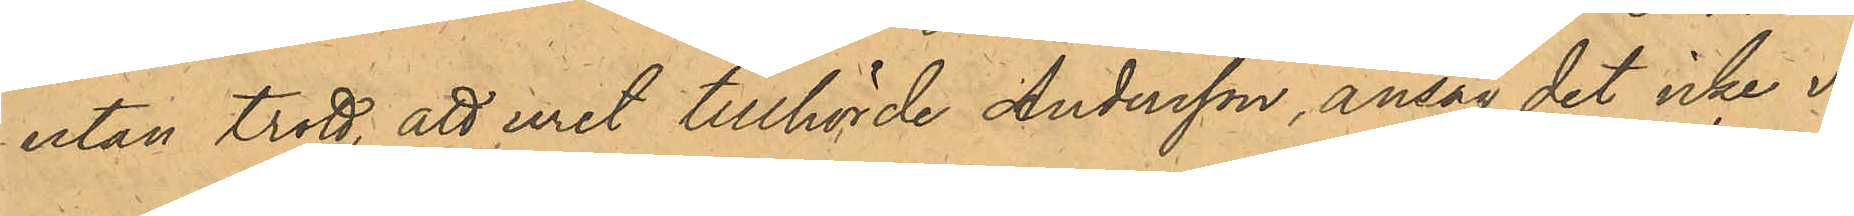utan trott, att uret tillhörde Andersson, ansåg det icke va¬
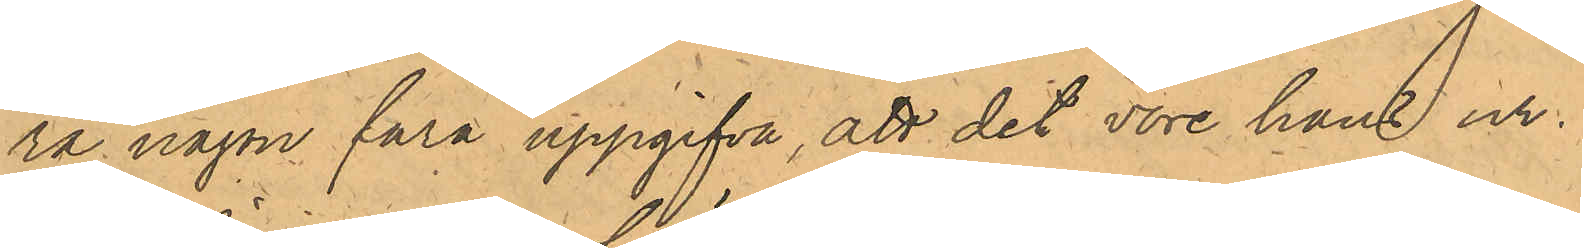ra någon fara uppgifva, att det vore hans ur.
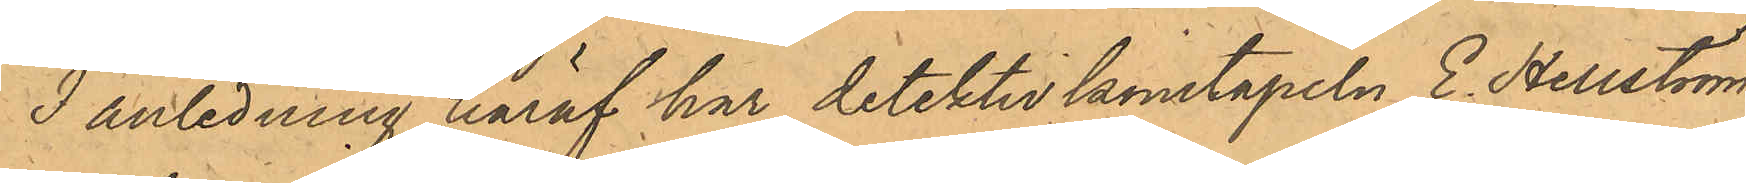I anledning häraf har detektivkonstapeln E. Hellström
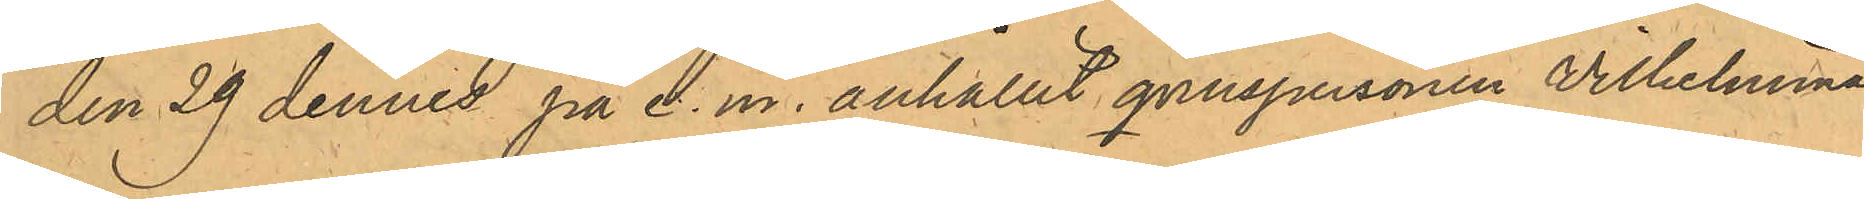den 29 dennes på e.m. anhållit qvinspersonen Vilhelmina
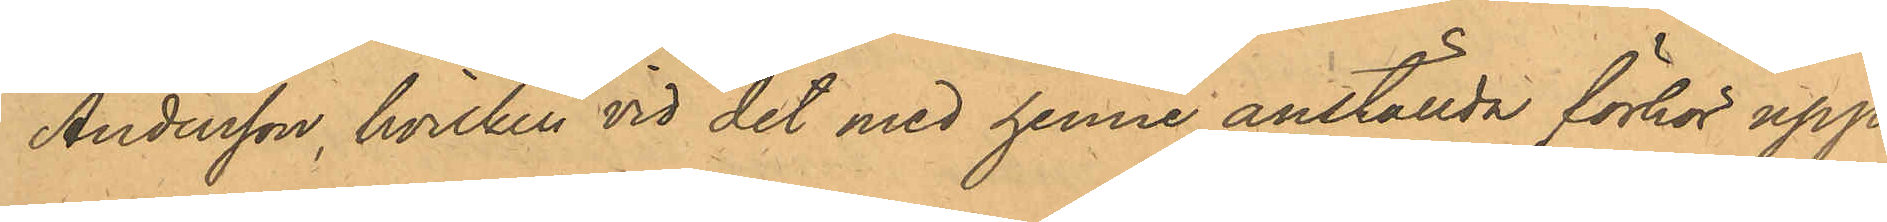Andersson, hvilken vid det med henne anställda förhör upp¬
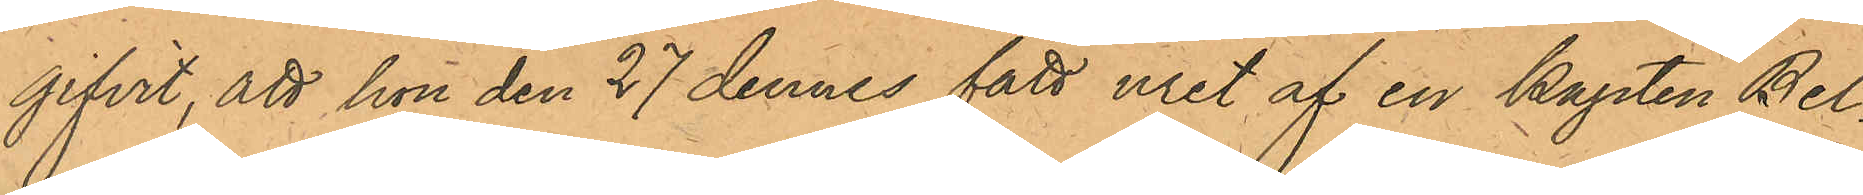gifvit, att hon den 27 dennes fått uret af en kapten Bel¬
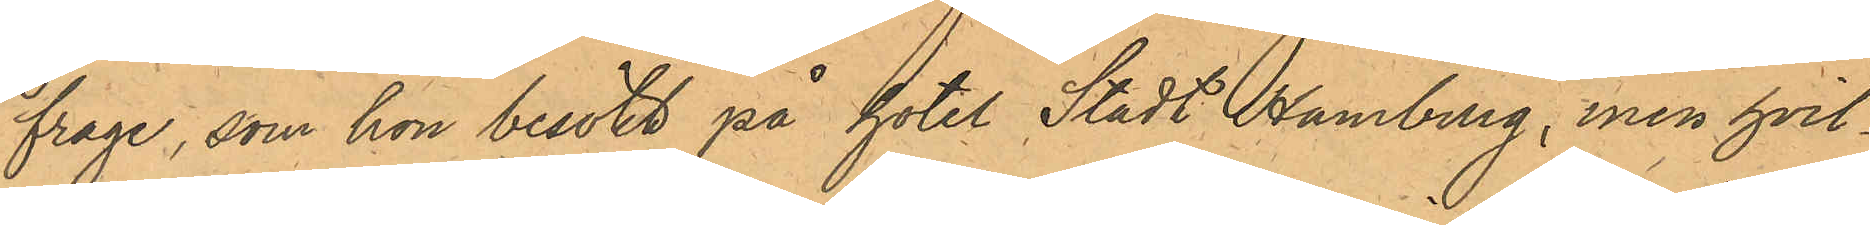frage, som hon besökt på hotel Stadt Hamburg, men hvil¬
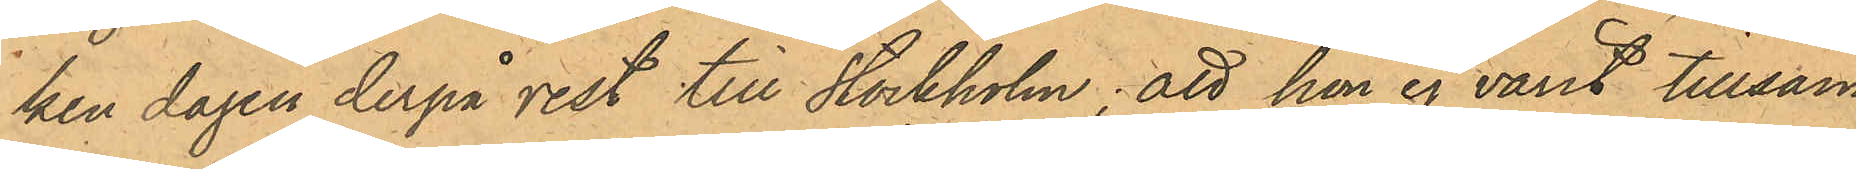ken dagen derpå rest till Stockholm; att hon ej varit tillsam¬
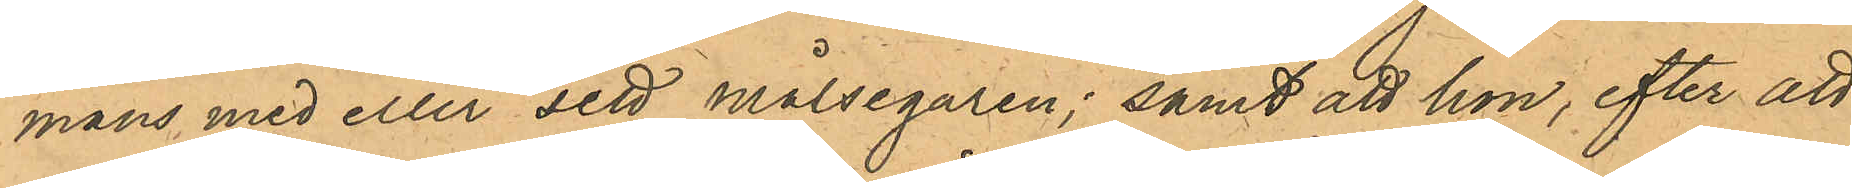mans med eller sett målsegaren; samt att hon, efter att
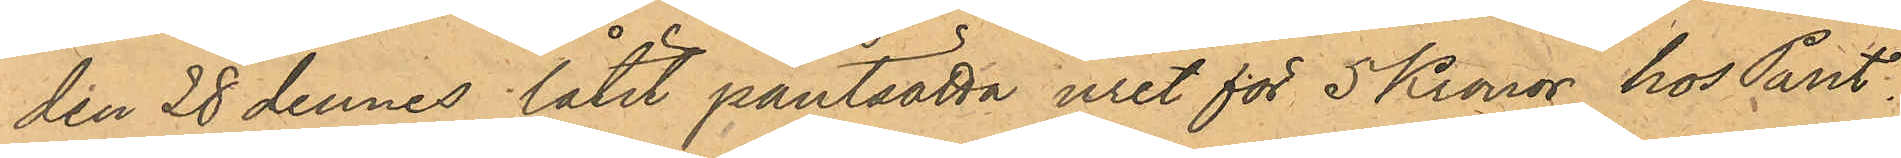den 28 dennes låtit pantsatta uret för 5 Kronor hos Pant¬
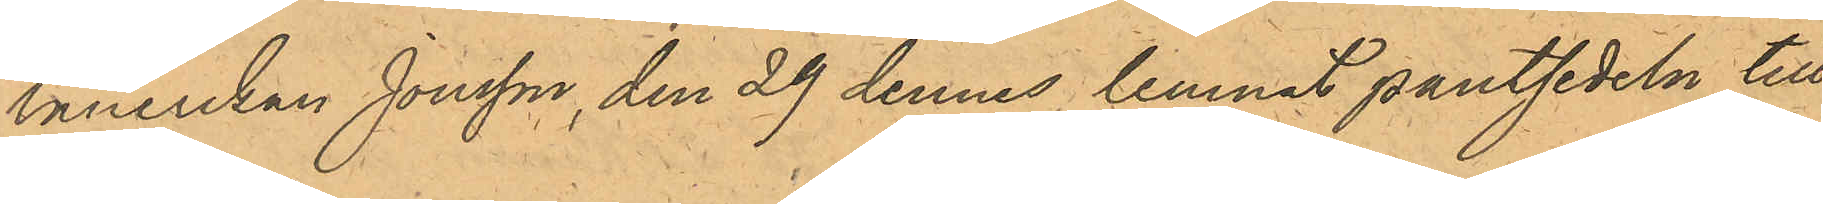lånerskan Jonsson, den 29 dennes lemnat pantsedeln till
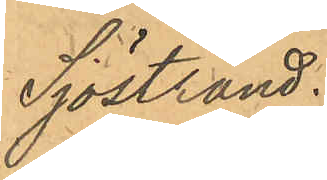Sjöstrand.
